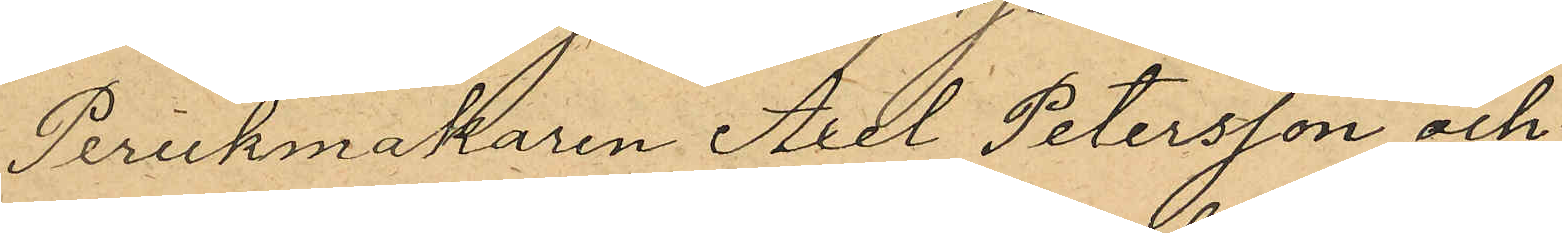Perukmakaren Axel Petersson och
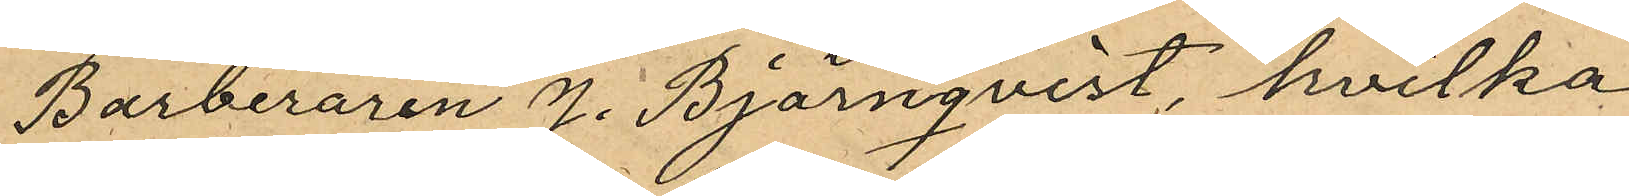Barberaren J. Björnqvist, hvilka
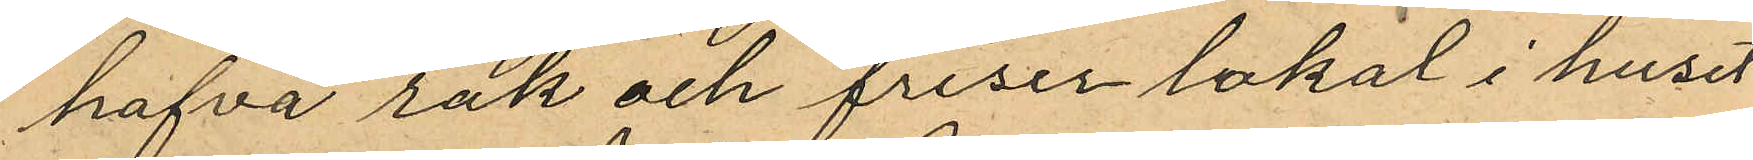hafva rak och friser lokal i huset
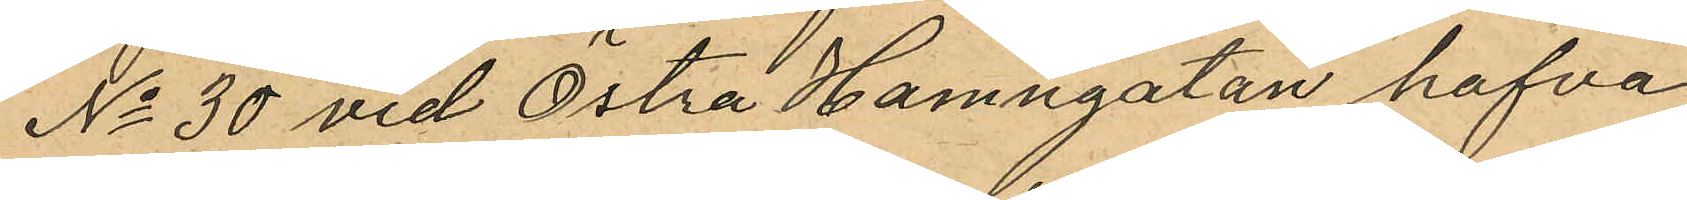No 30 vid Östra Hamngatan hafva
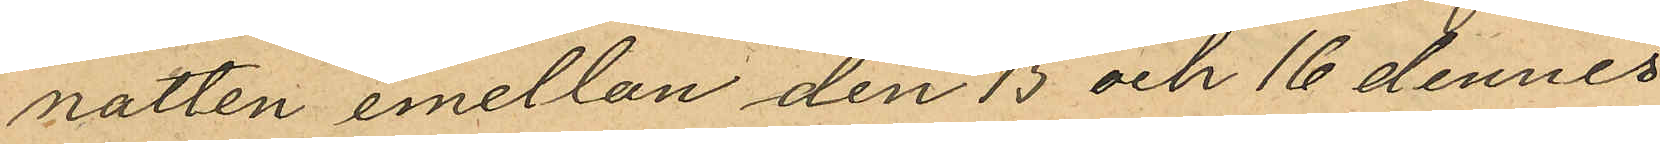natten emellan den 15 och 16 dennes
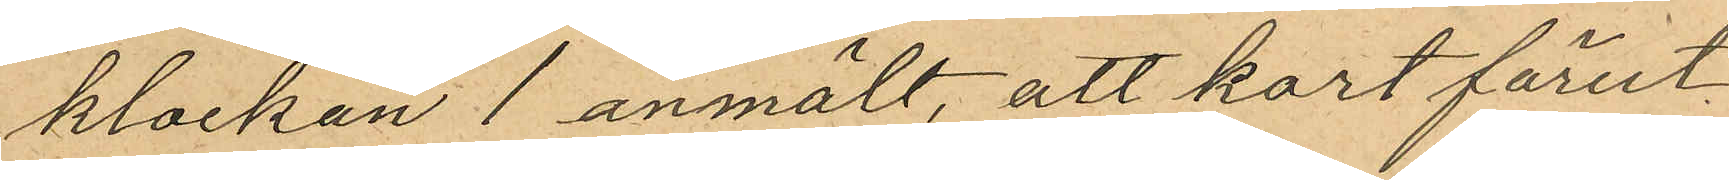klockan anmält, att kort förut¬
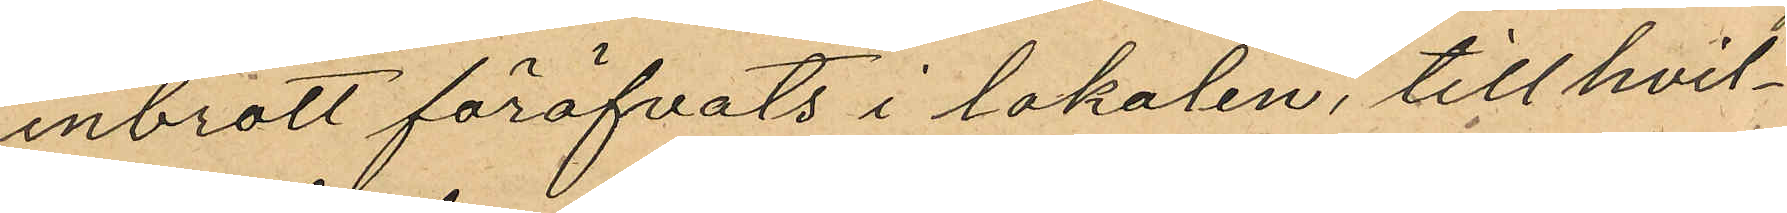inbrott föröfvats i lokalen, till hvil¬
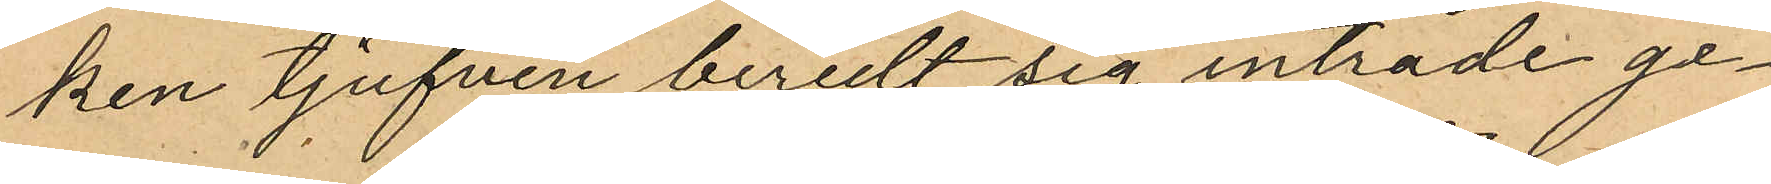ken tjufven beredt sig inträde ge¬
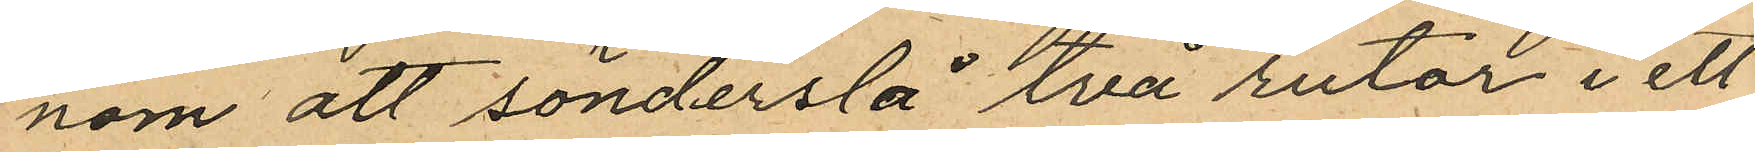nom att sönderslå två rutor i ett
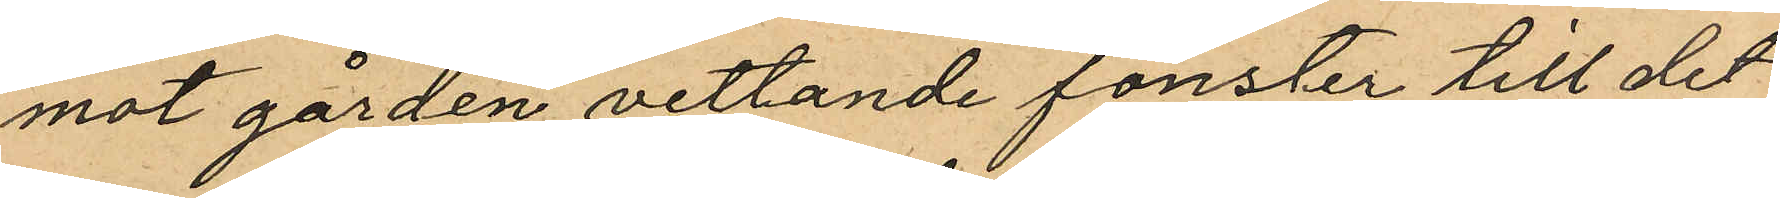mot gården vettande fönster till det
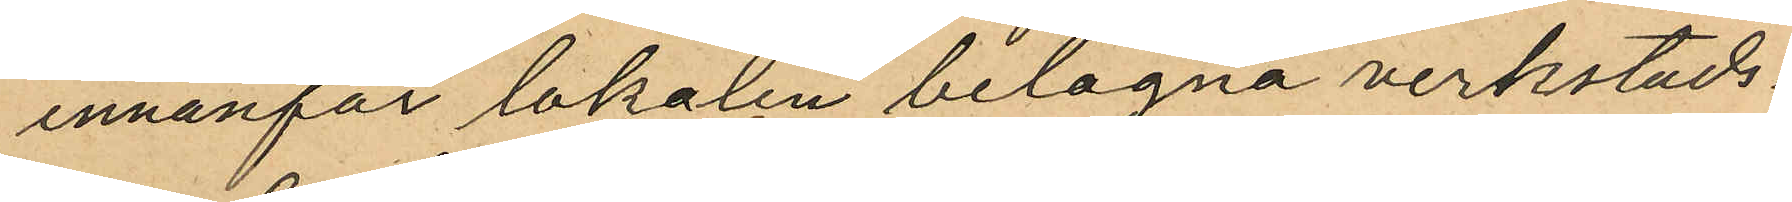innanför lokalen belägna verkstads¬
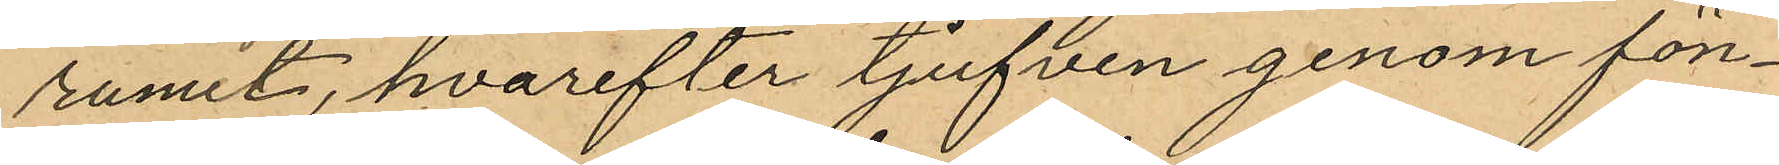rumet, hvarefter tjufven genom fön¬
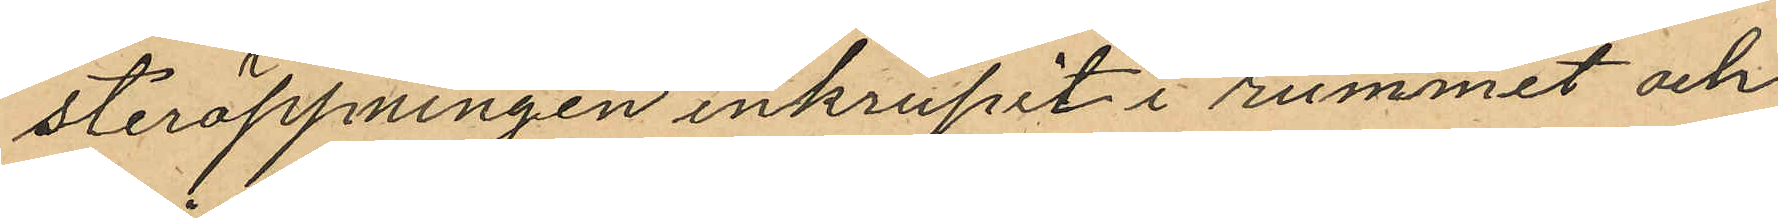steröppningen inkrupit i rummet och
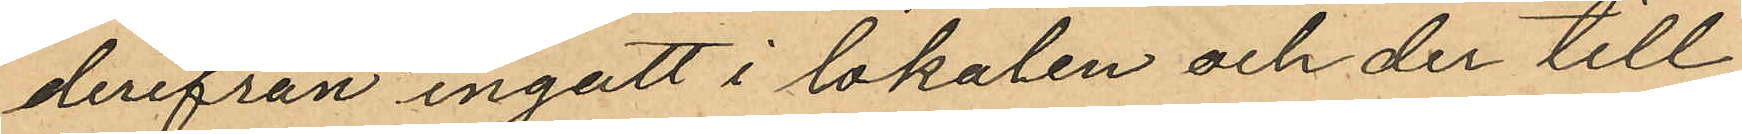derifrån ingått i lokalen och der till¬
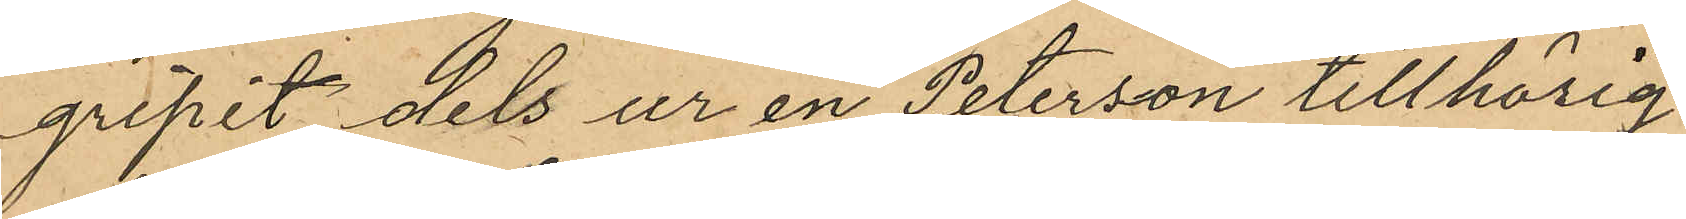gripit dels ur en Peterson tillhörig
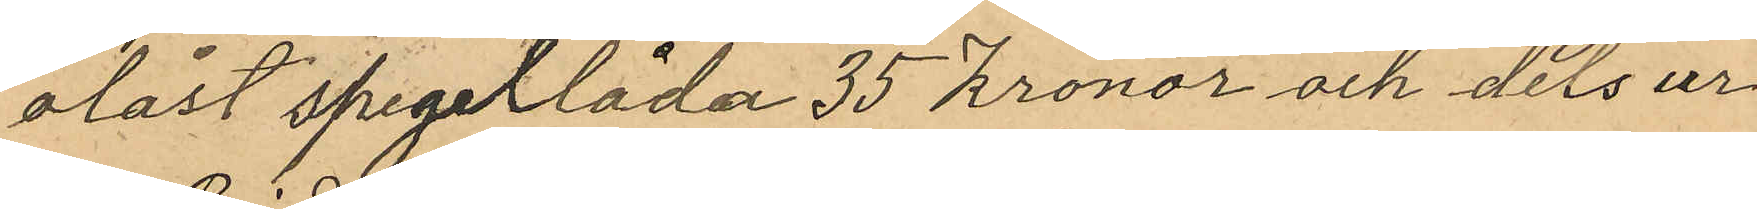olåst spegellåda 35 Kronor och dels ur
